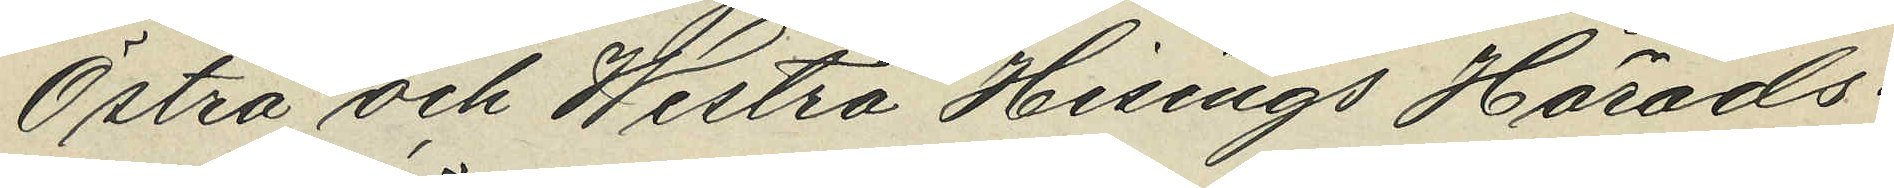Östra och Westra Hisings Härads¬
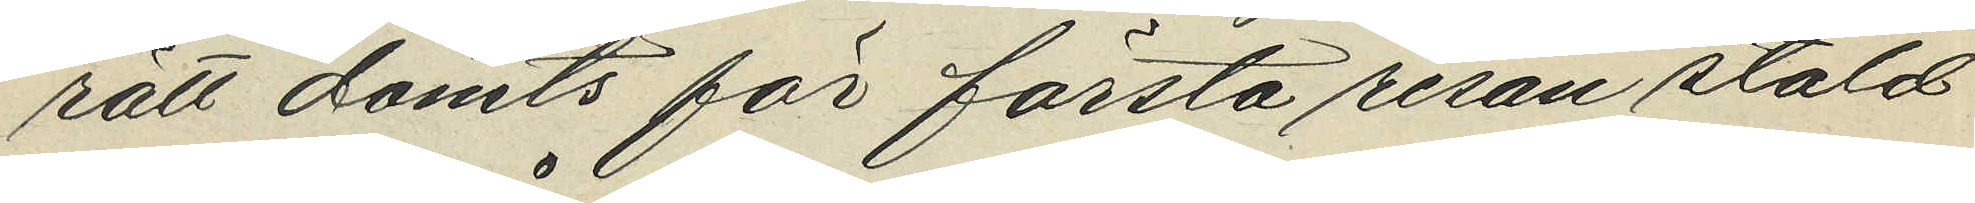rätt dömts för första resan stöld
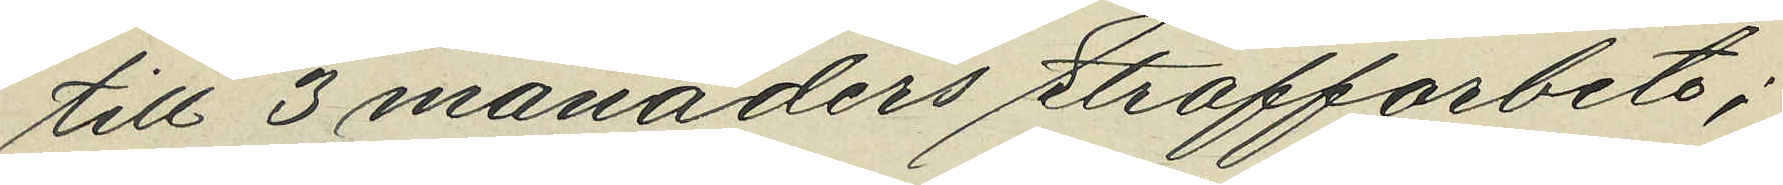till 3 månaders straffarbete;
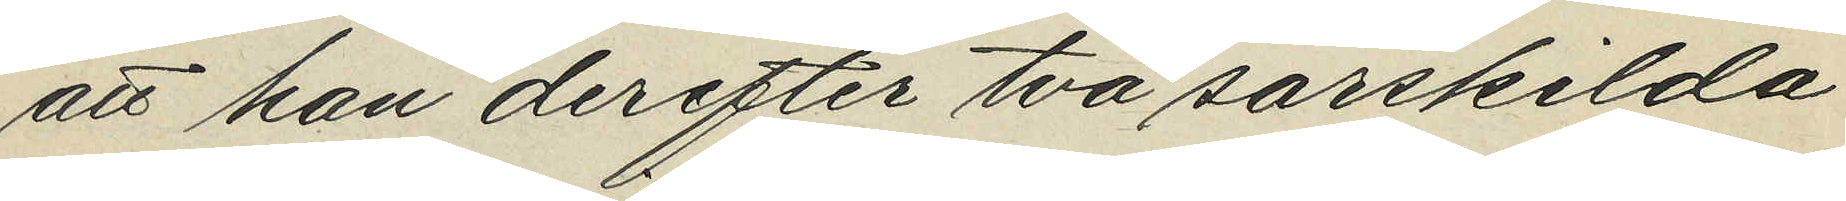att han derefter två särskilda
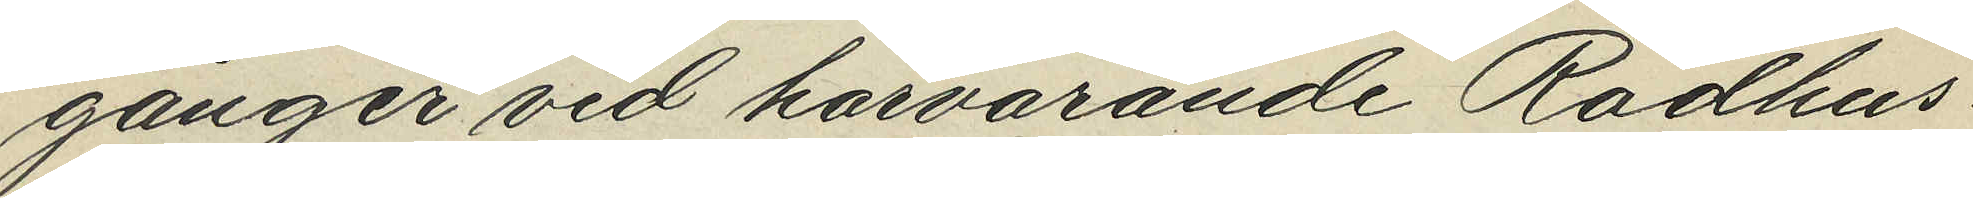gånger vid härvarande Rådhus¬
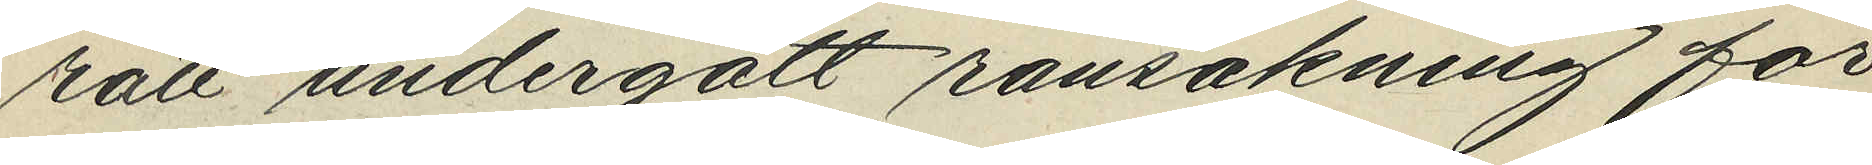rätt undergått ransakning för
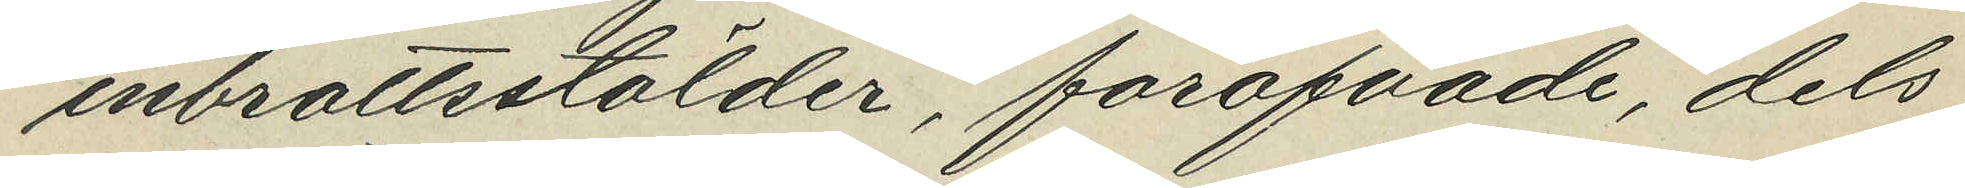inbrottsstölder, föröfvande, dels
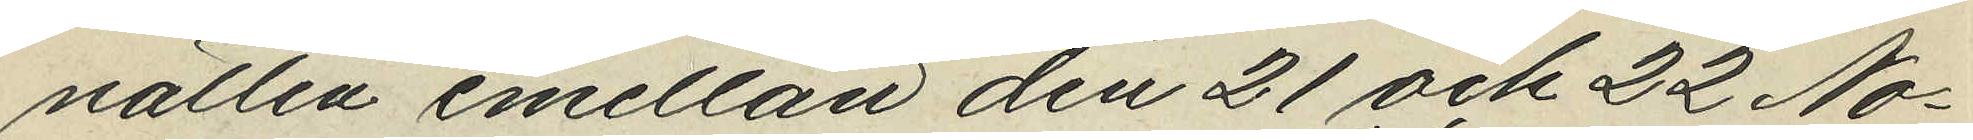natten mellan den 21 och 22 No¬
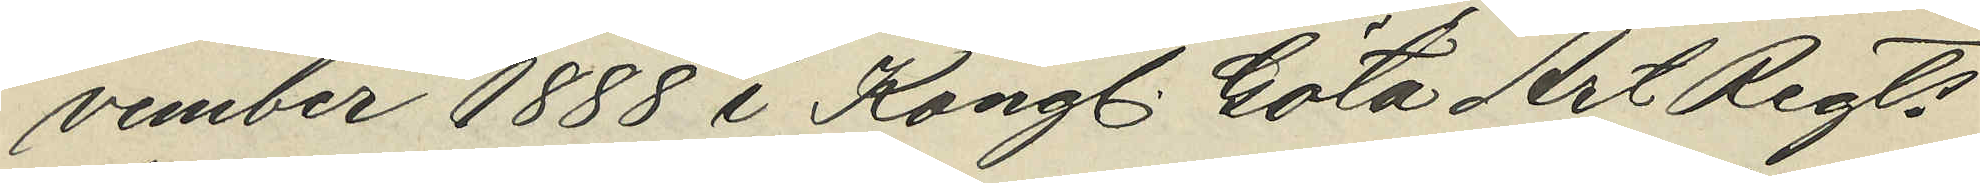vember 1888 i Kongl. Göta Art Regts
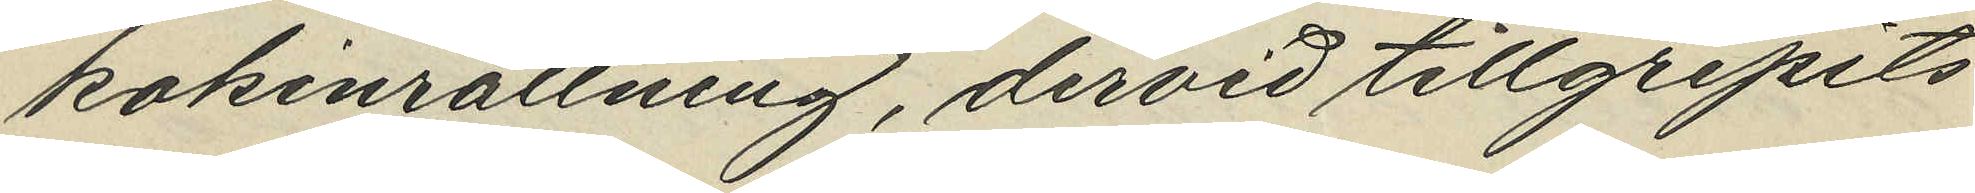kokinrättning, dervid tillgripits
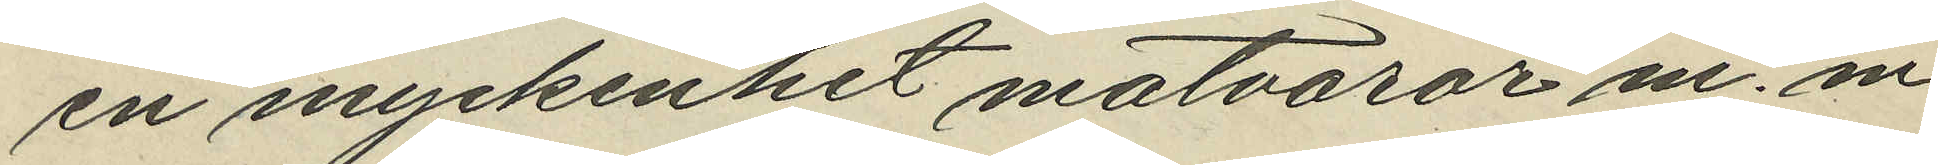en myckenhet matvaror m.m.
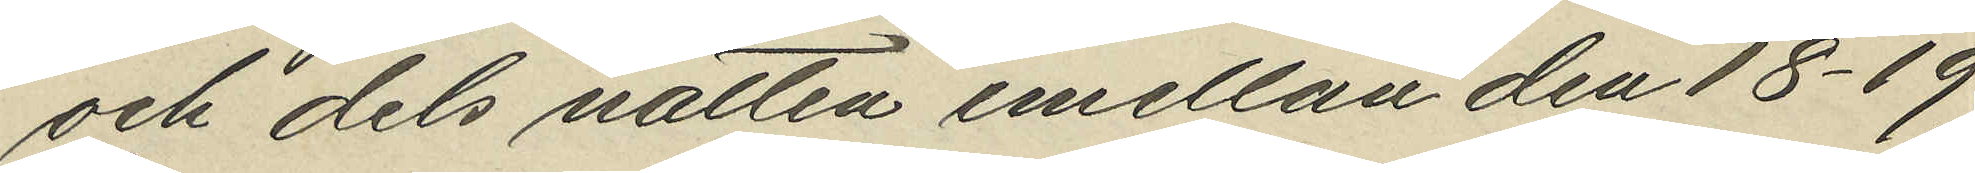och dels natten mellan den 18-19
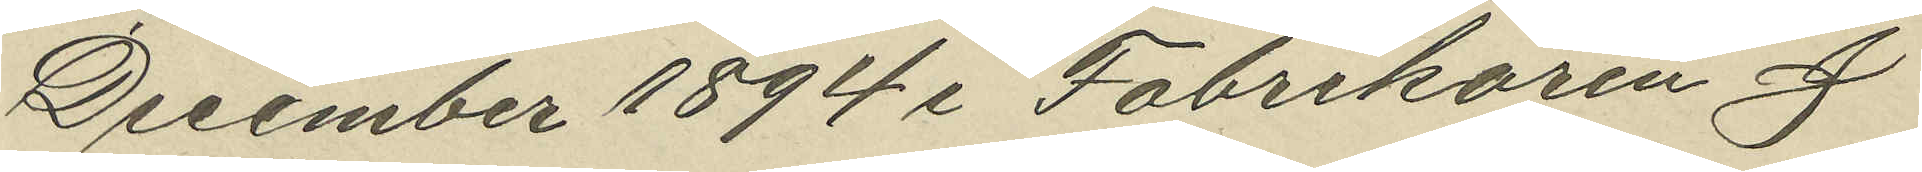December 1894 i Fabrikören J
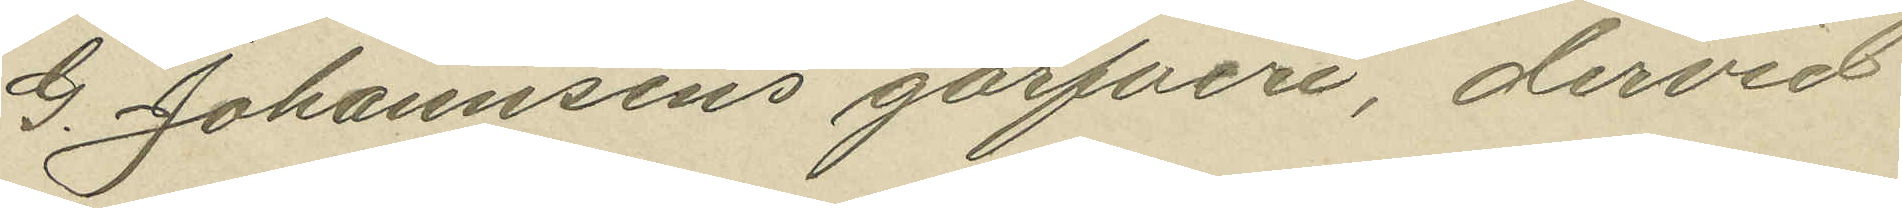G. Johannsens garfveri, dervid
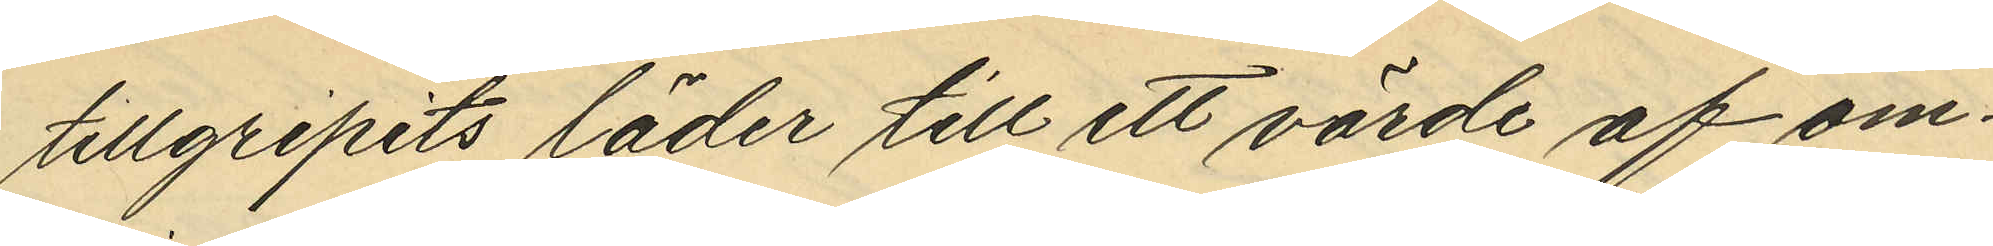tillgripits läder till ett värde af om¬
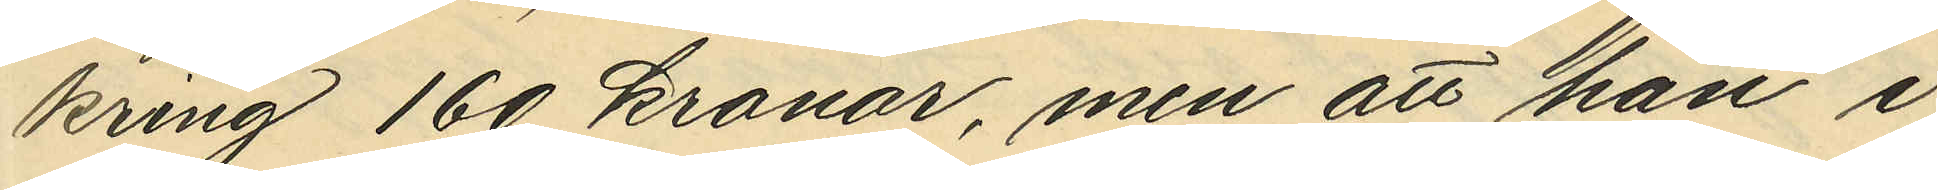kring 160 kronor, men att han i
